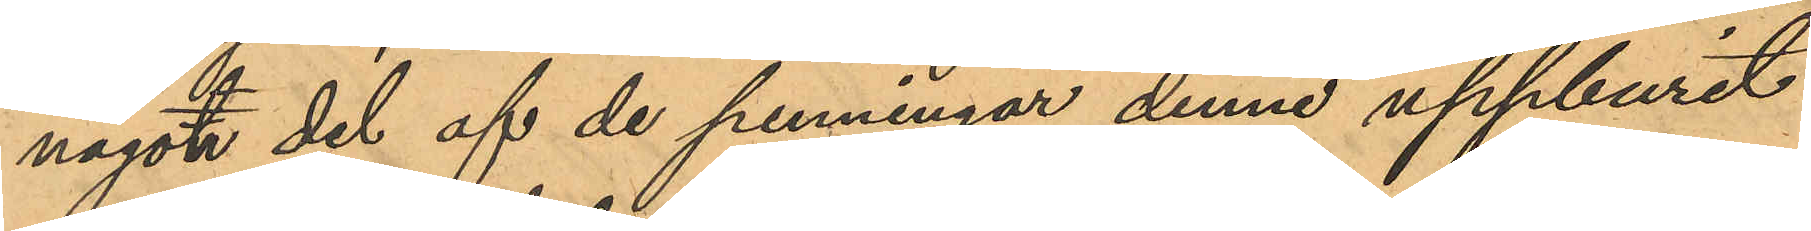något del af de penningar denne uppburit
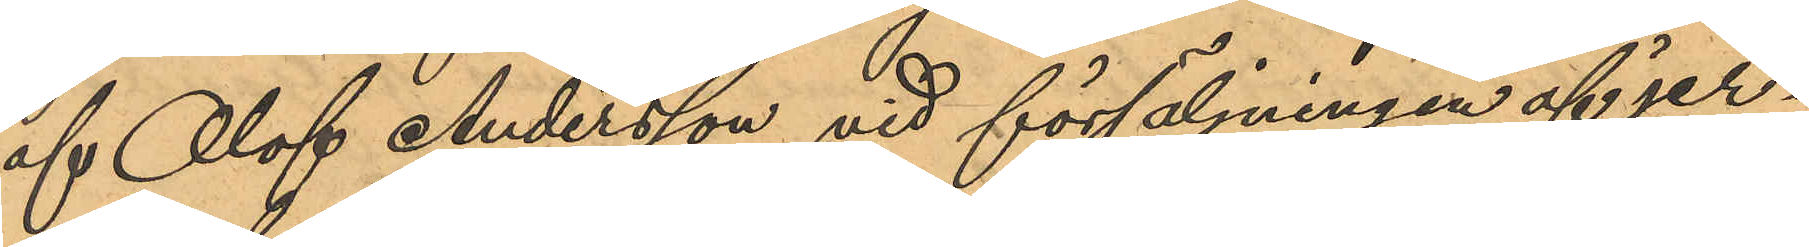af Olof Andersson vid försäljningen af jer¬
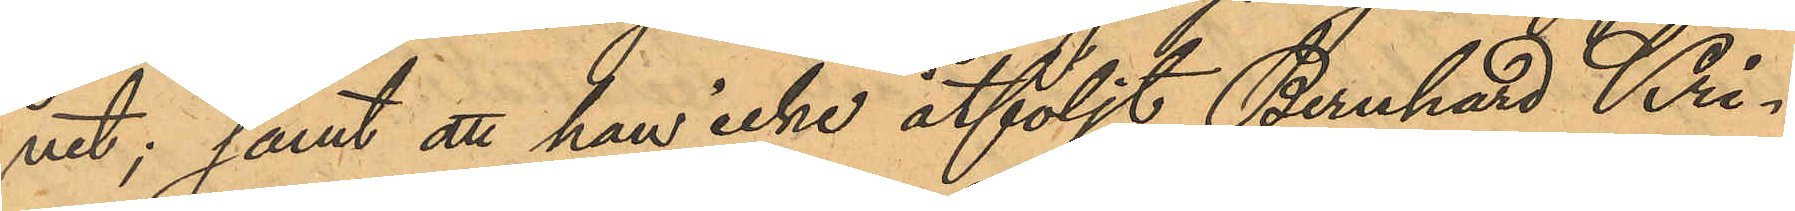net; samt att han icke åtföljt Bernhard Kri¬
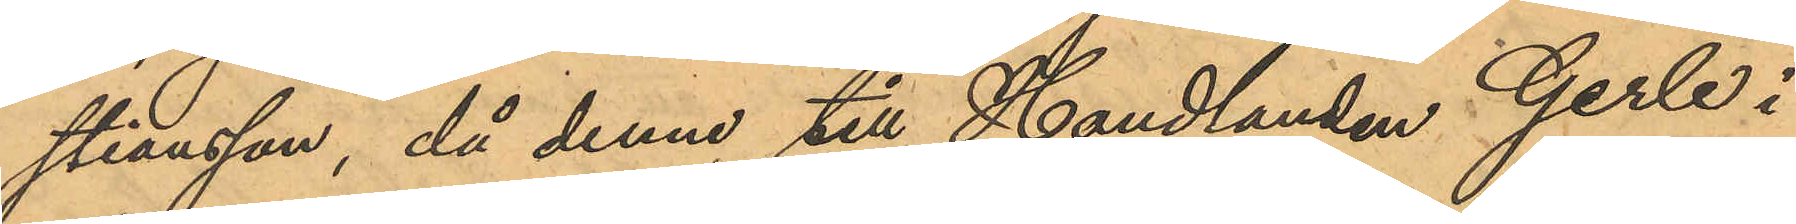stiansson, då denne till Handlanden Gerle i
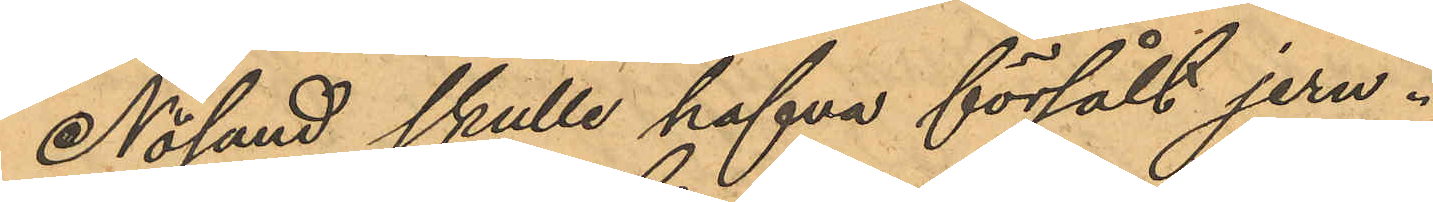Nösund skulle hafva försålt jern.
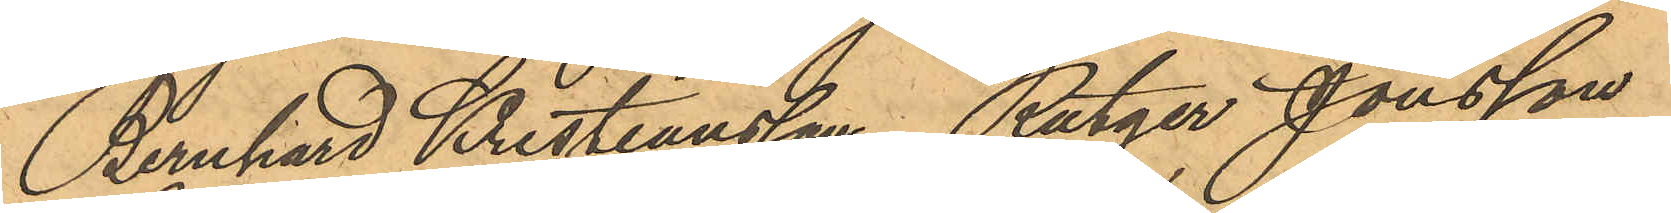Bernhard Kristiansson, Rutger Jonsson
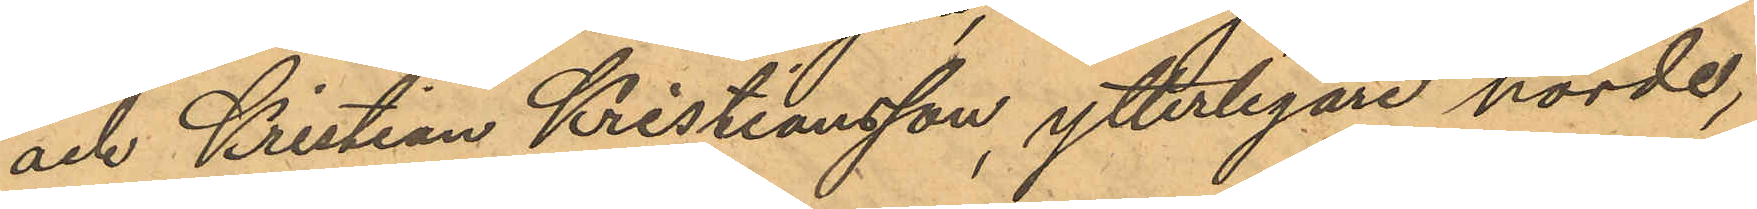och Kristian Kristiansson, ytterligare hörde,
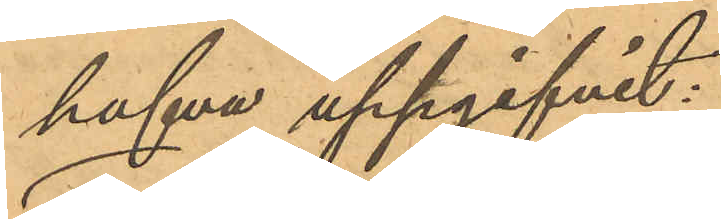hafva uppgifvit:
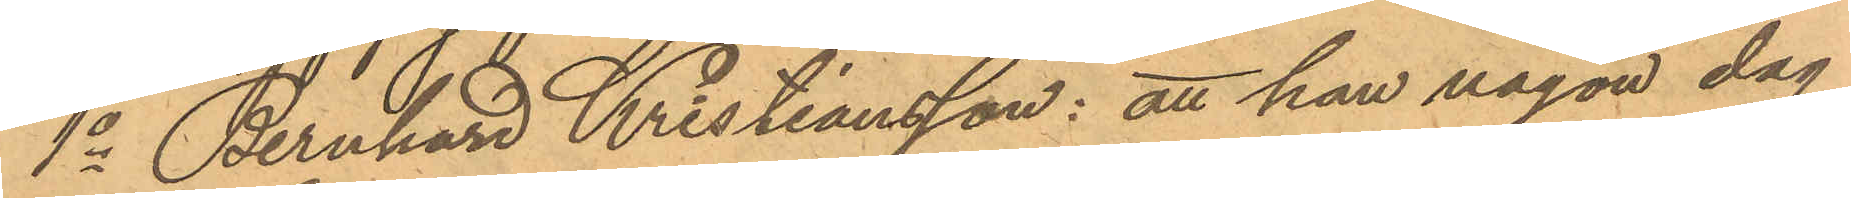1o Bernhard Kristiansson: att han någon dag
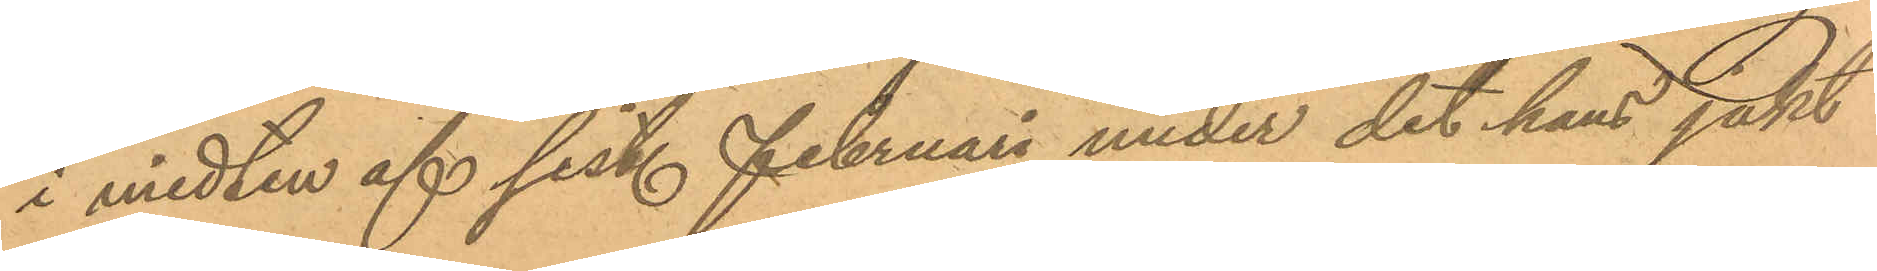i midten af sist. Februari under det hans jakt
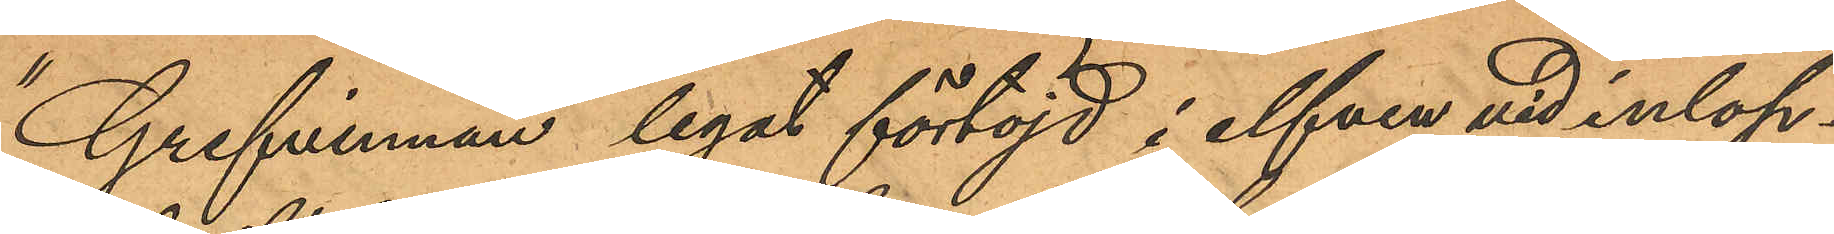"Grefvinnan" legat förtöjd i elfven vid inlop¬
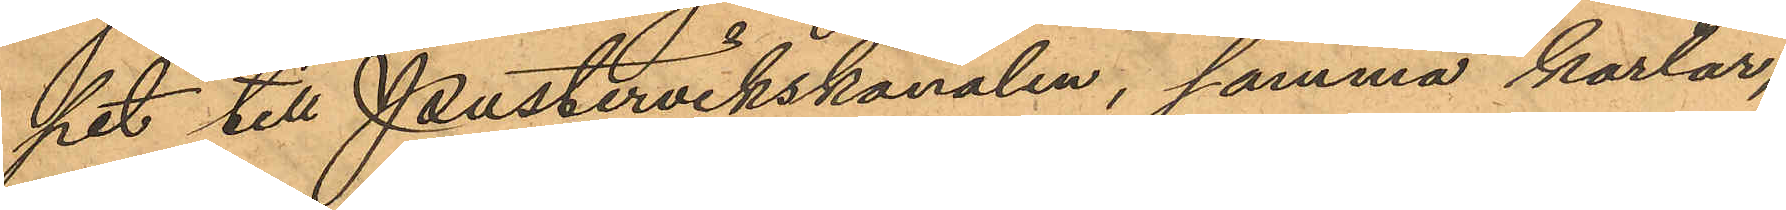pet till Pustervikskanalen, samma karlar,
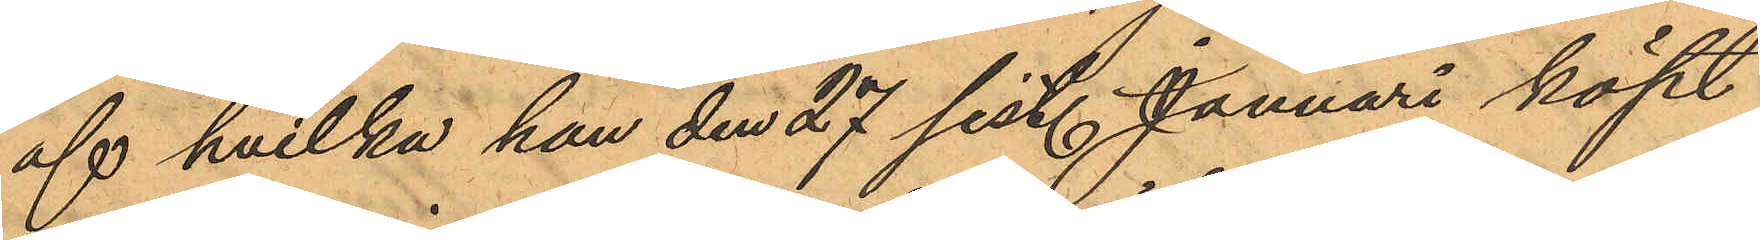af hvilka han den 27 sist. Januari köpt
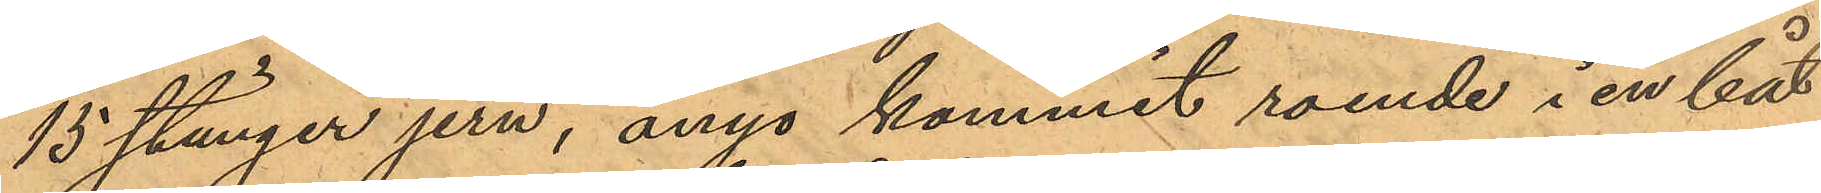15 stänger jern, ånyo kommit roende i en båt
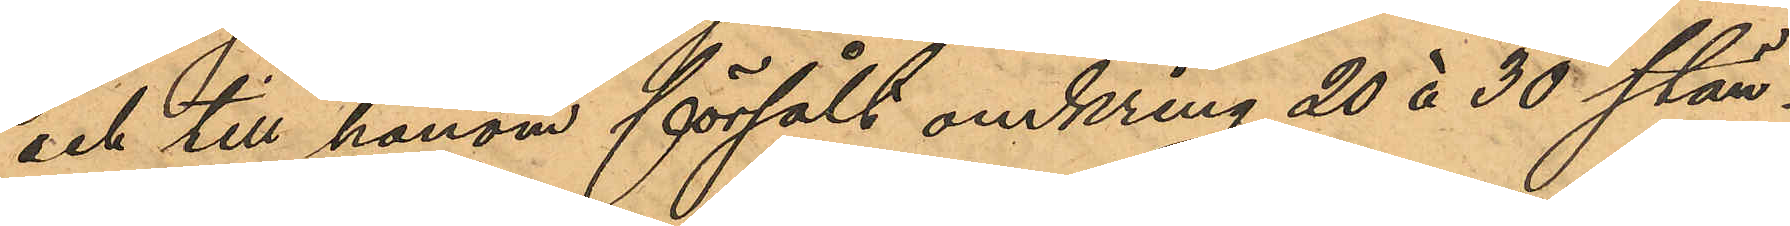och till honom försålt omkring 20 å 30 stän¬
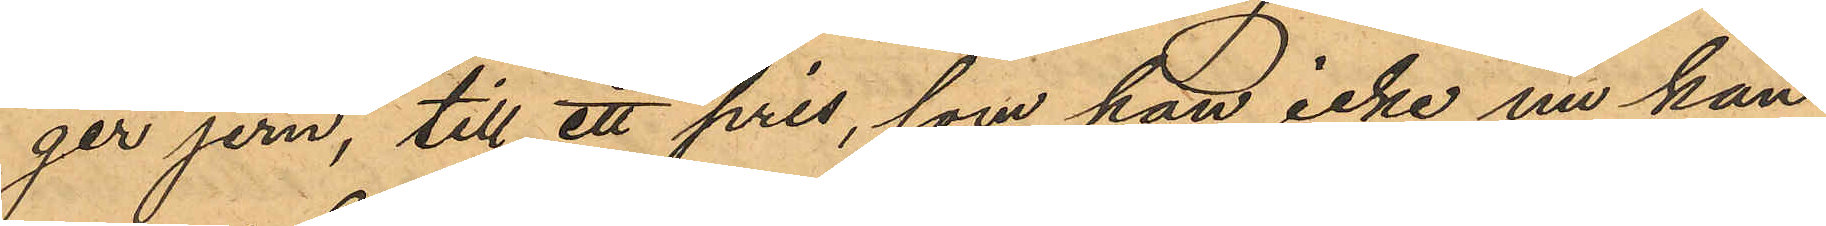ger jern, till ett pris, som han icke nu kan
